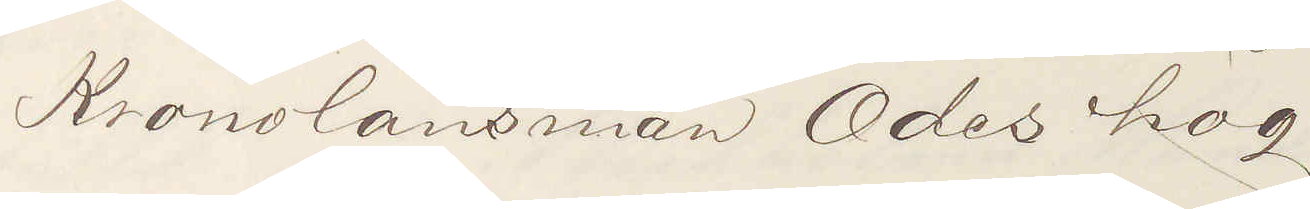Kronolänsman Ödeshög
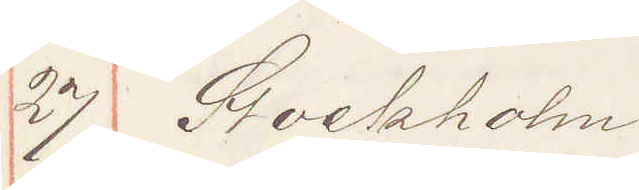27 Stockholm
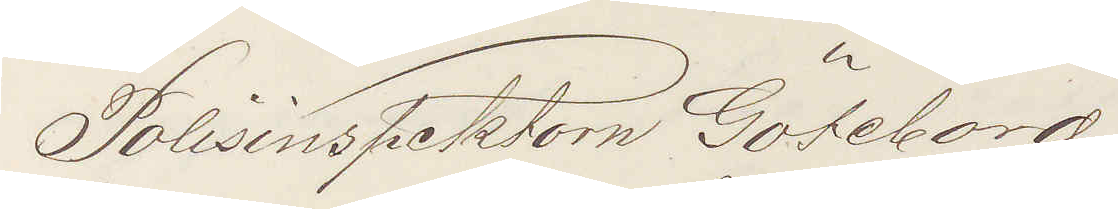Polisinspektorn Göteborg
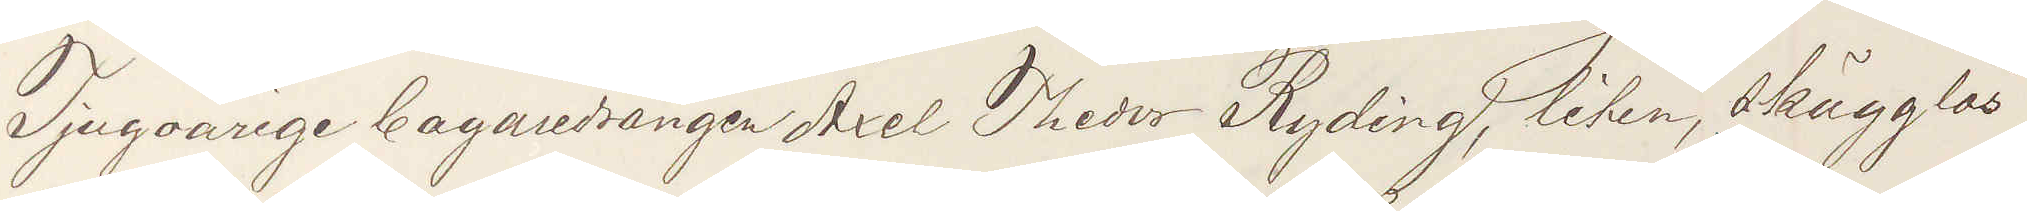Tjugoårige bagaredrängen Axel Theodor Ryding, liten skägglös
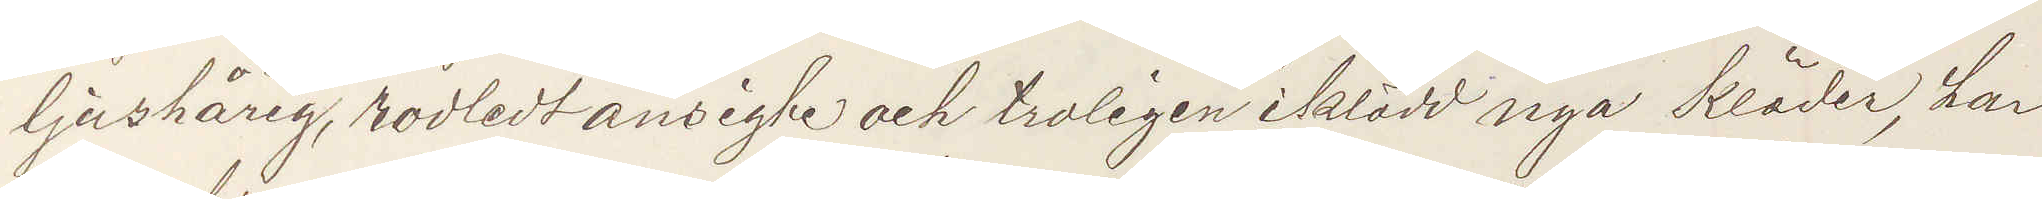ljushårig, rodledt ansigte och troligen iklädd nya kläder, har
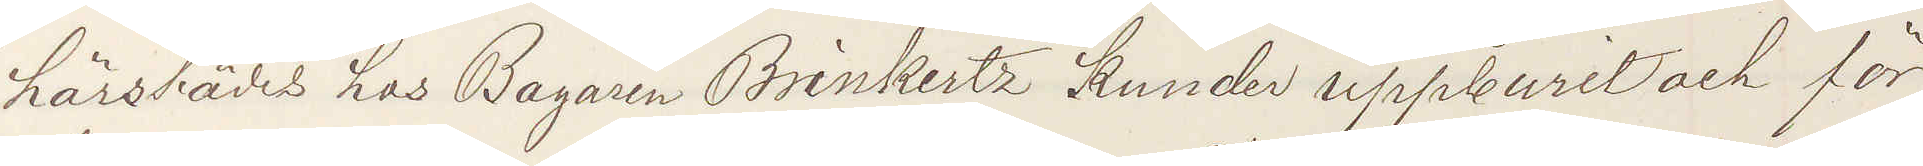härstädes hos Bagaren Brinkertz Kunder uppburit och för
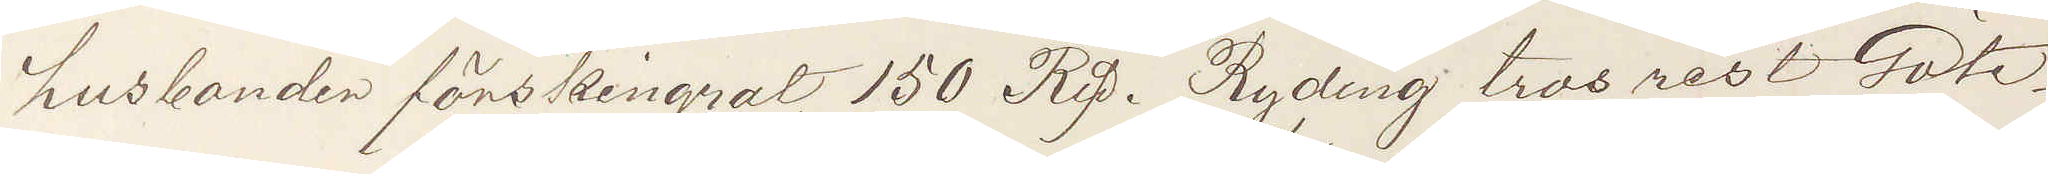husbonden förskingrat 150 Rdl. Ryding tros rest Göte¬
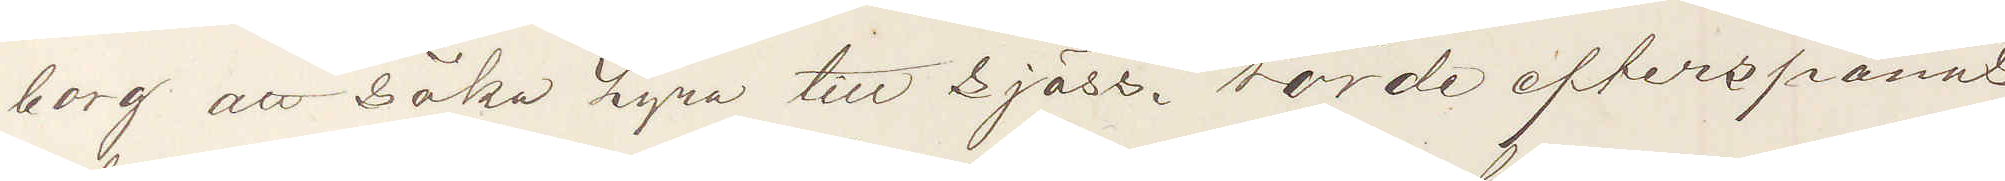borg att söka hyra till sjöss. Torde efterspanas
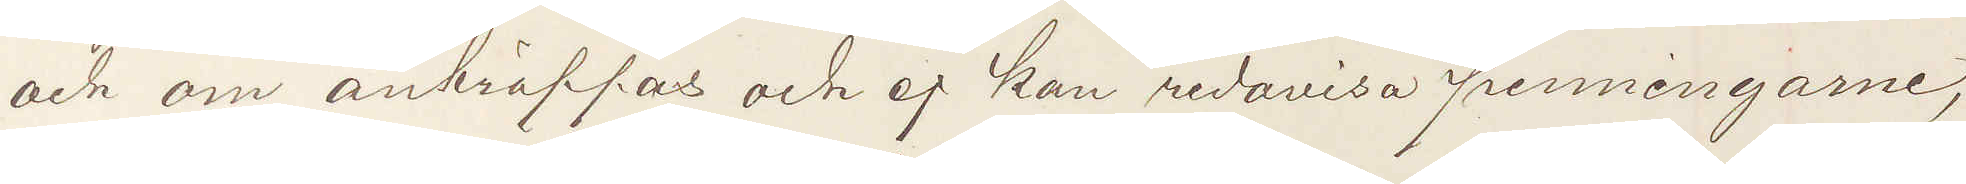och om anträffas och ej kan redovisa penningarne,
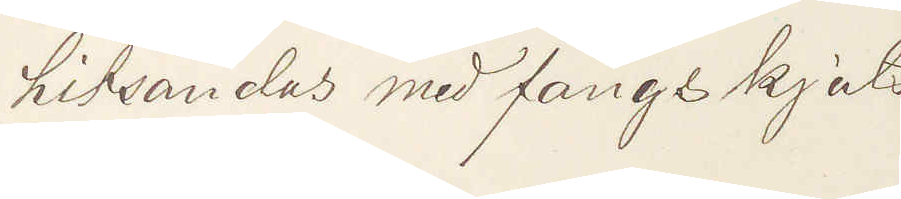hitsändas med fångskjuts.
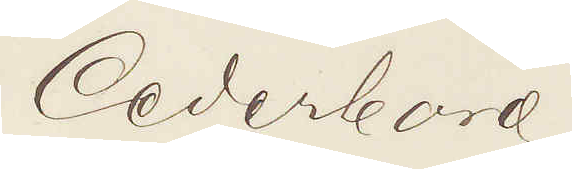Cederborg
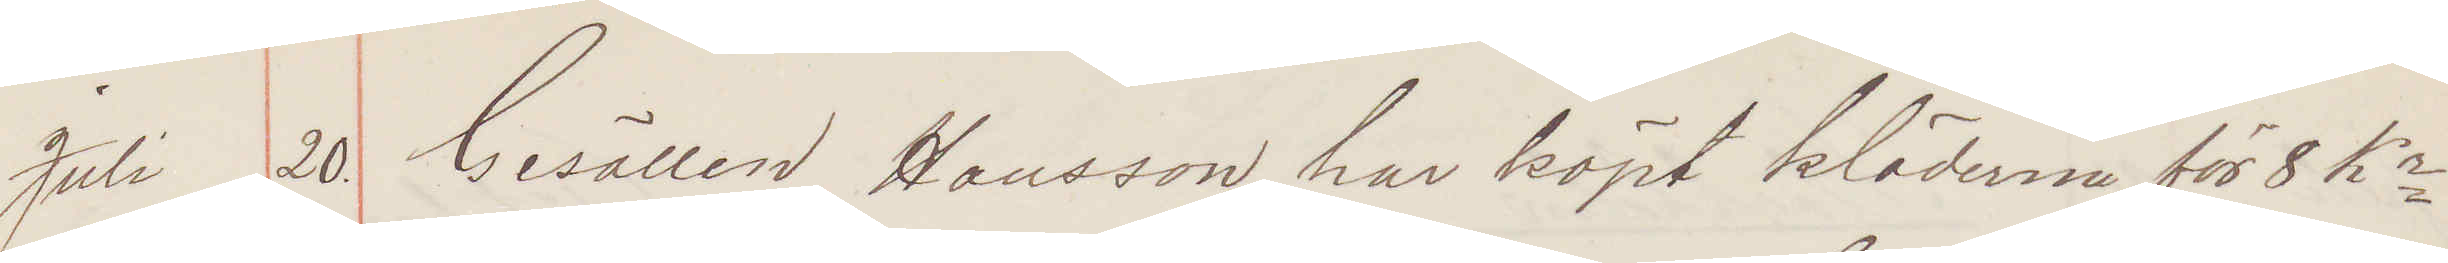Juli 20. Gesällen Hansson har köpt kläderna för 8 Kr
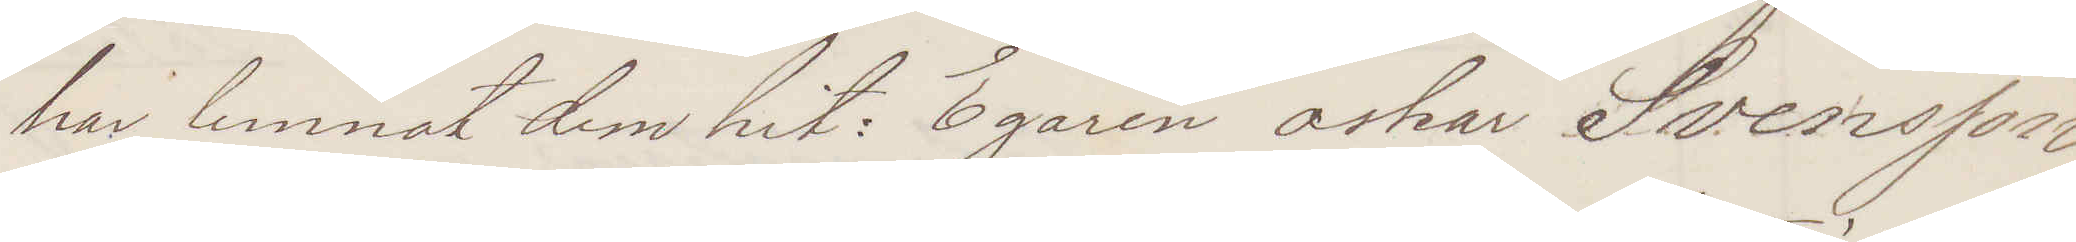har lemnat dem hit Egaren oskar Svensson
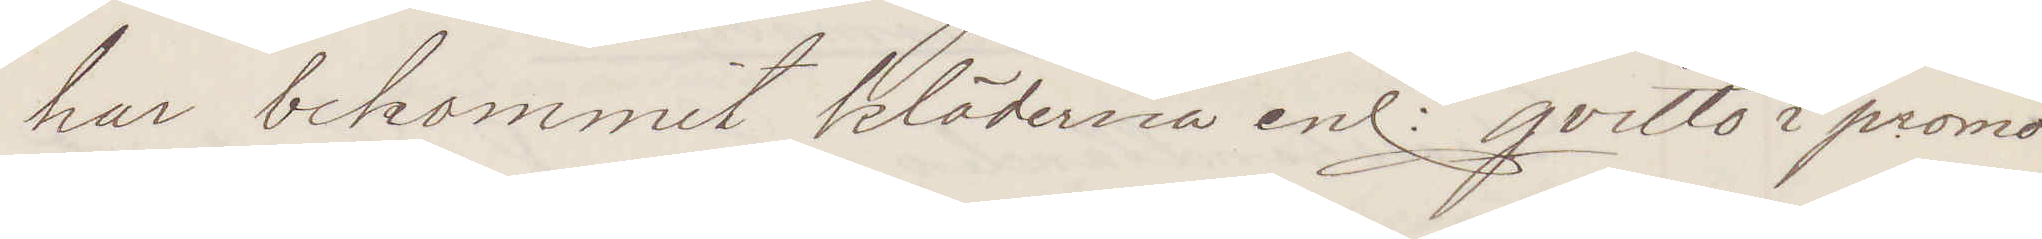har bekommit kläderna enl qvitto i promo¬
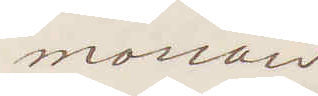morian
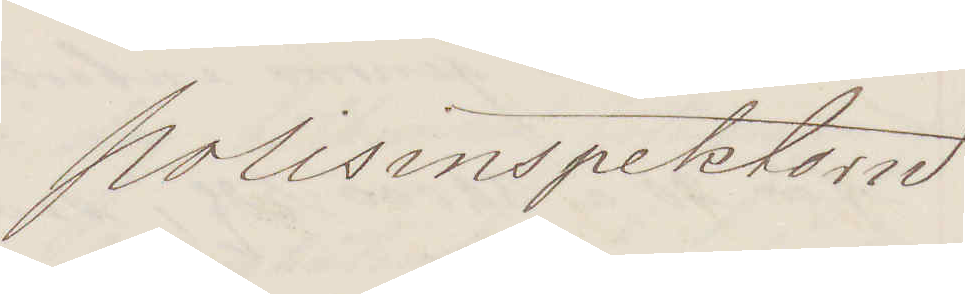Polisinspektorn
